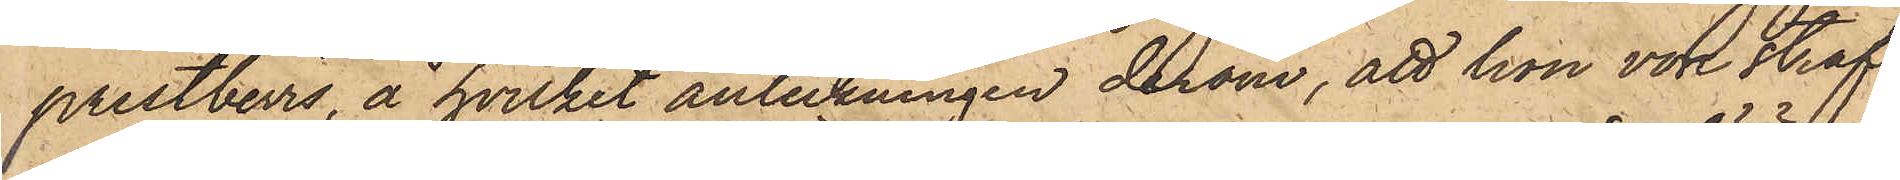prestbevis, å hvilket anteckningen derom, att hon vore straf¬
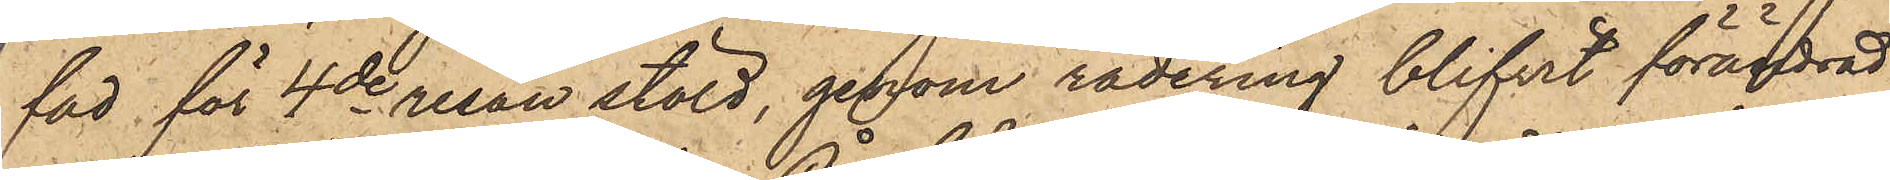fad för 4de resan stöld, genom radering blifvit förändrad
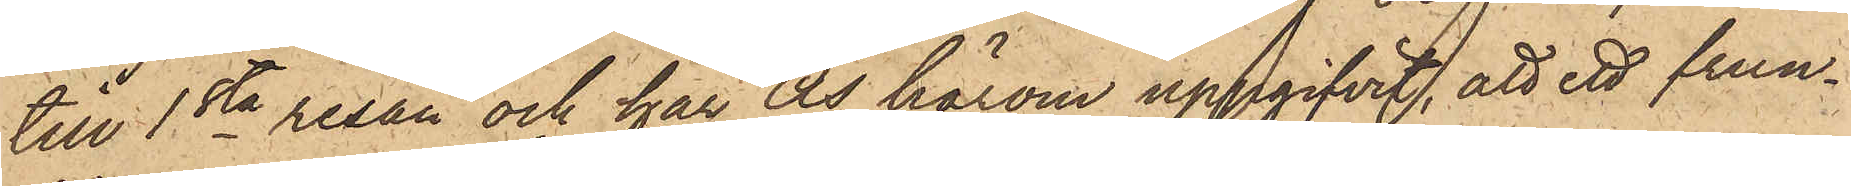till 1sta resan och har Ås härom uppgifvit, att ett frun¬
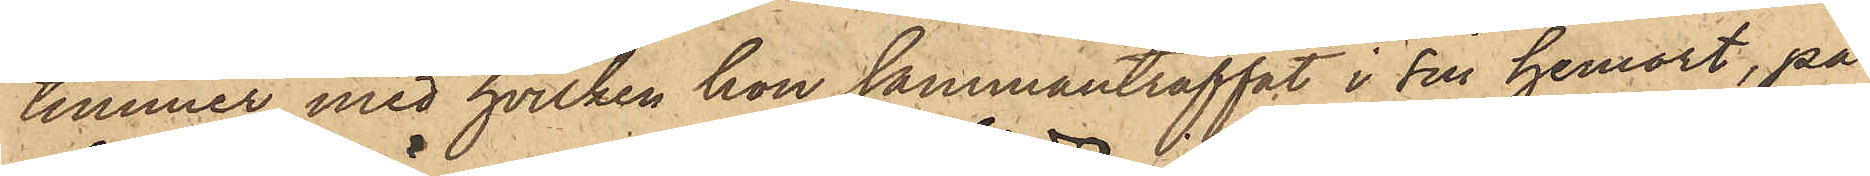timmer med hvilken hon sammanträffat i sin hemort, på
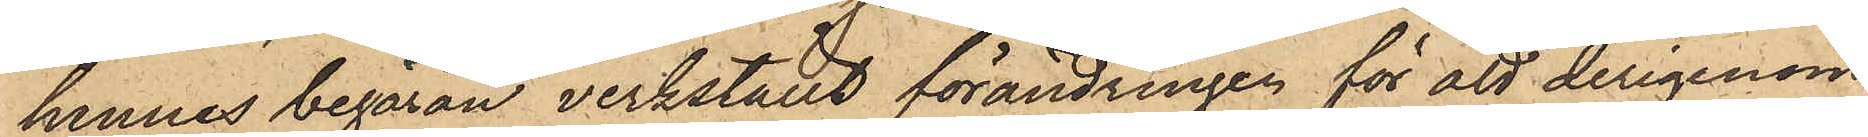hennes begäran verkställt förändringen för att derigenom
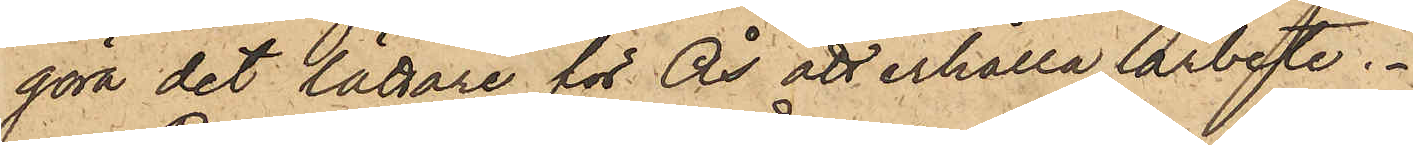göra det lättare för Ås att erhålla arbete.
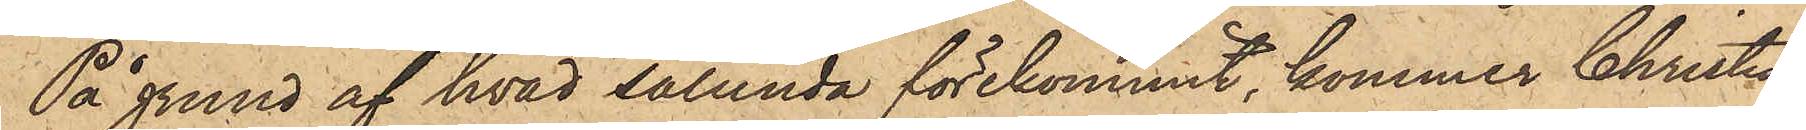På grund af hvad sålunda förekommit, kommer Christina
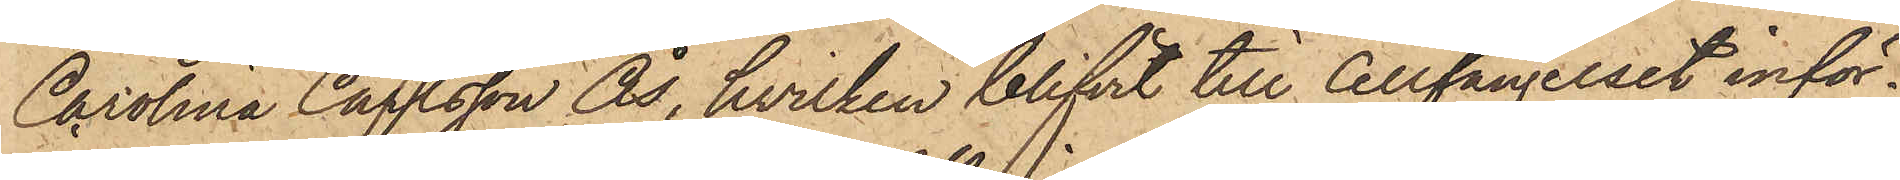Carolina Carlsson Ås, hvilken blifvit till Cellfängelset inför¬
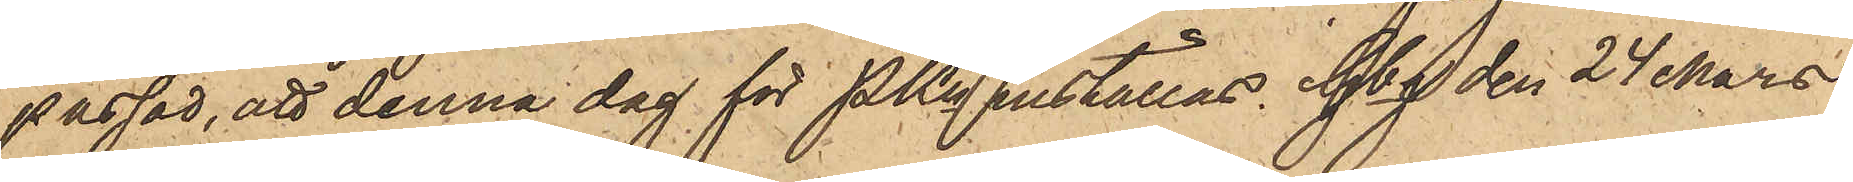passad, att denna dag för PKn inställas. Gbg den 24 Mars
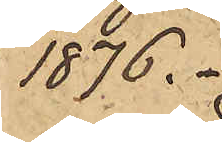1876.
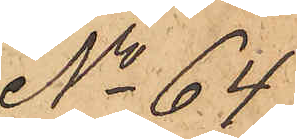No 64
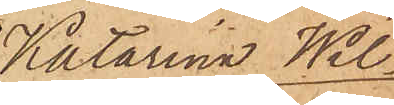Katarina Wil¬
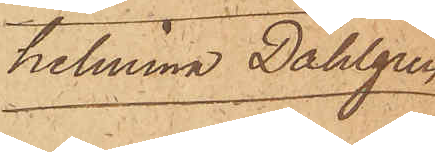helmina Dahlgren
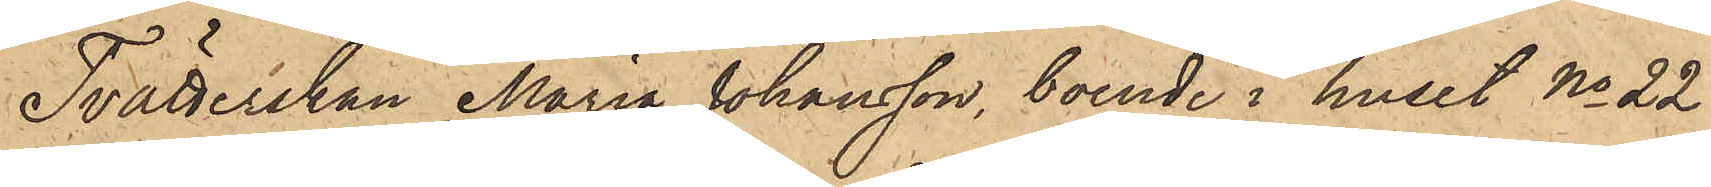Tvätterskan Maria Johansson, boende i huset No 22
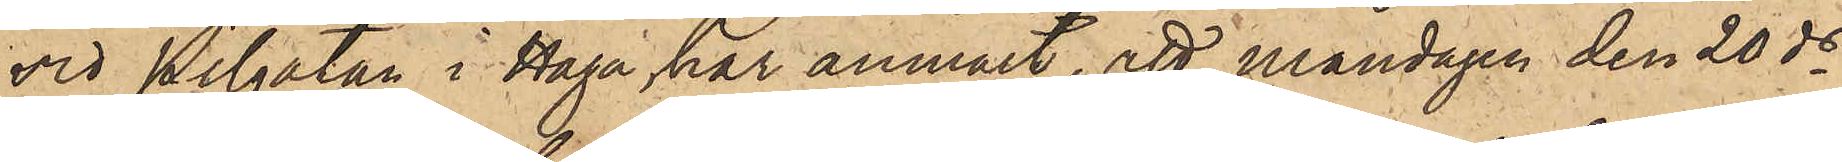vid Pilgatan i Haga, har anmält, att måndagen den 20 ds
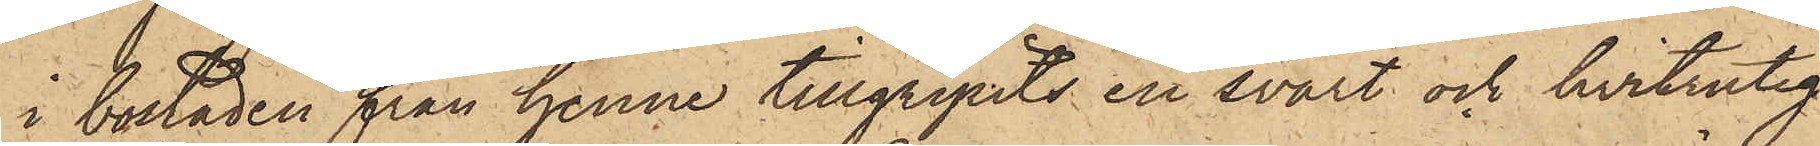i bostaden från henne tillgripits en svart och hvitrutig
